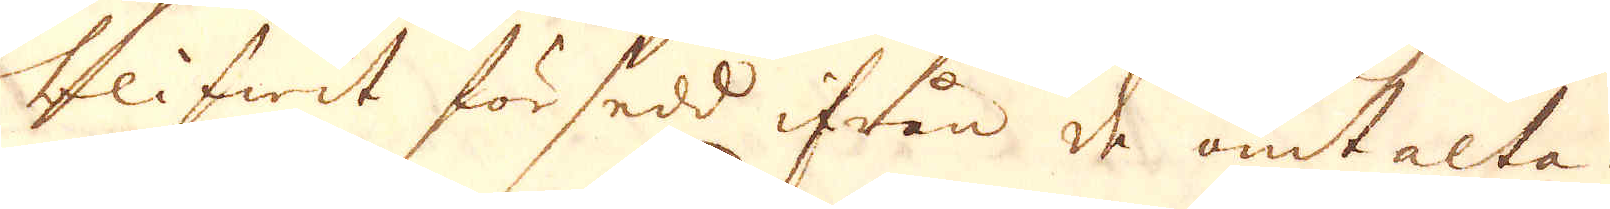blifwit försedd ifrån de omtalta
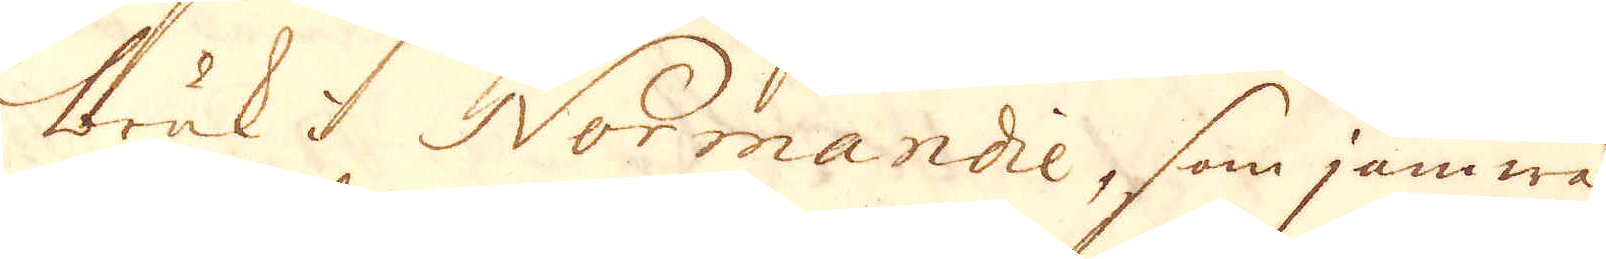Bruk i Normandie, som jämwäl
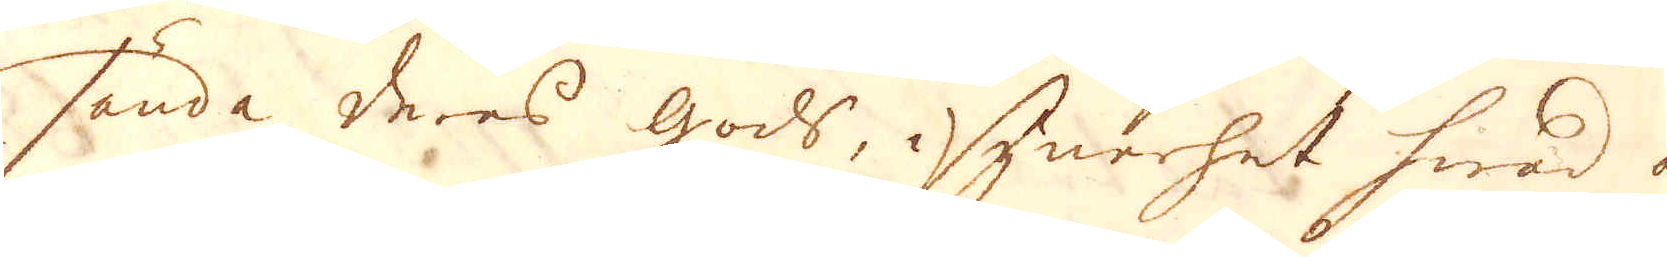sända deres gods, i synerhet hwad är
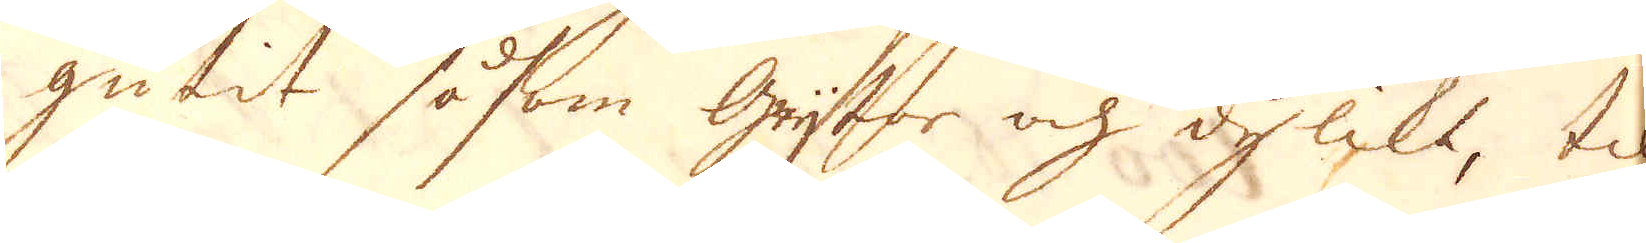gutit såsom Grytor och dylikt, til
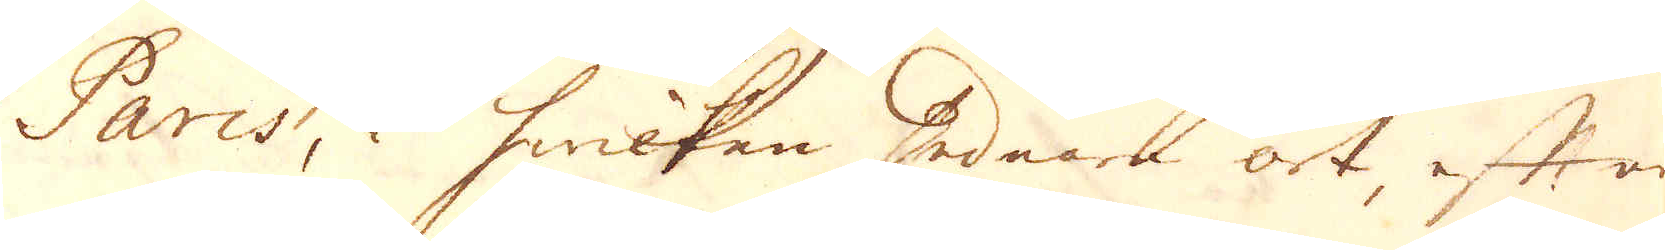Paris, i hwilken sednare ort, efter
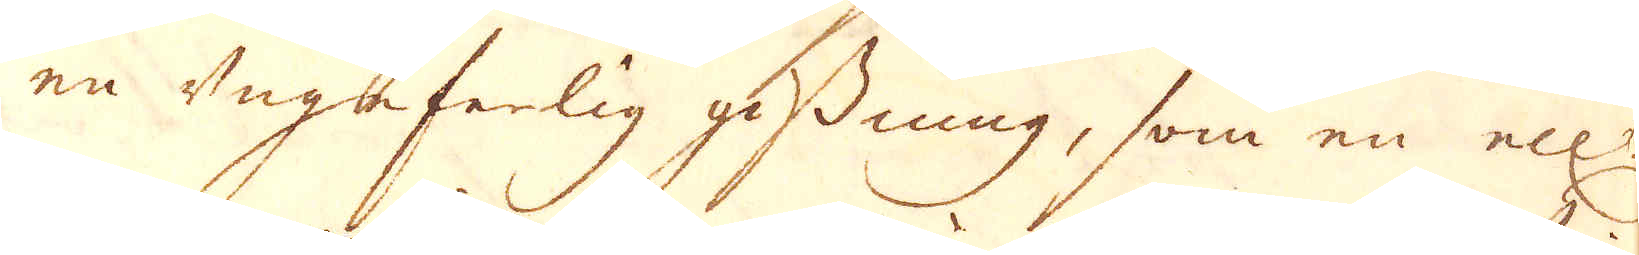en ungeferlig gissning, som en ell:r
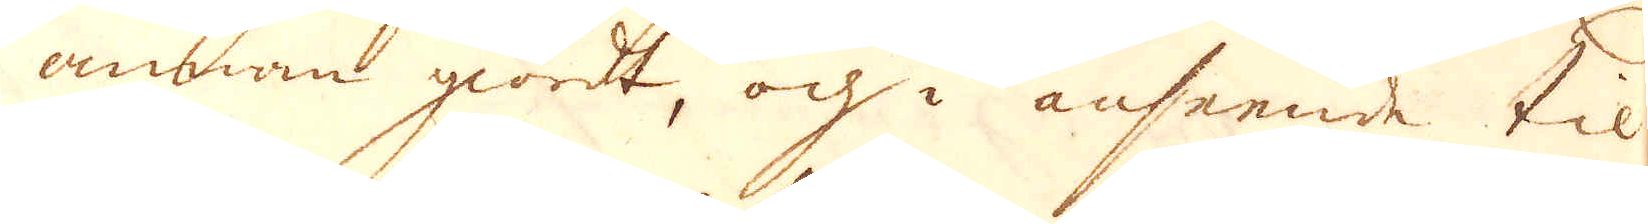annan giordt, och i anseende til
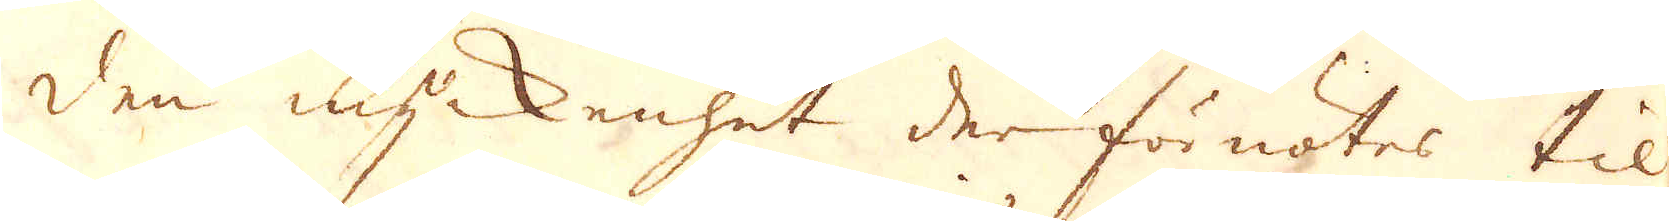den myckenhet der förnötes til
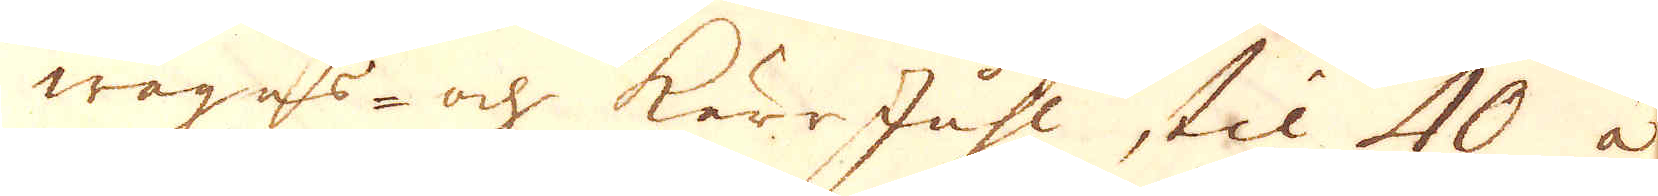wagns- och Kärr Juhl, til 40 à
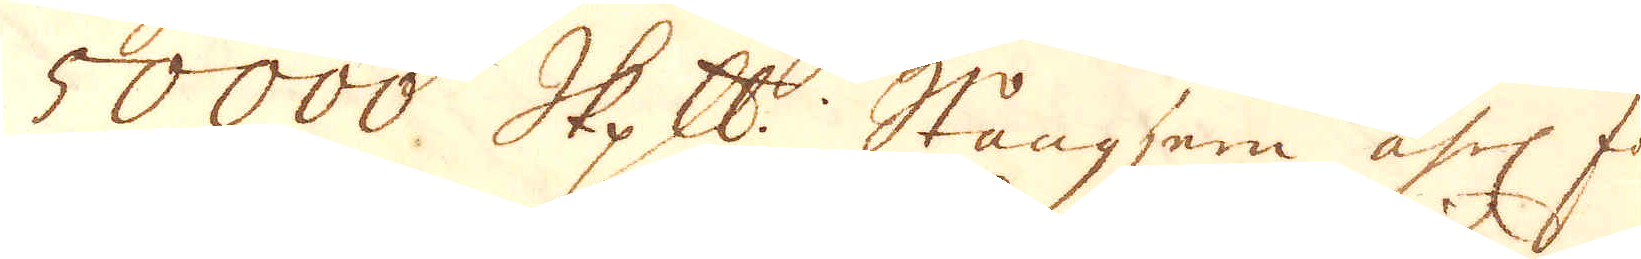50000 skeppund Stångjern åhrl för-
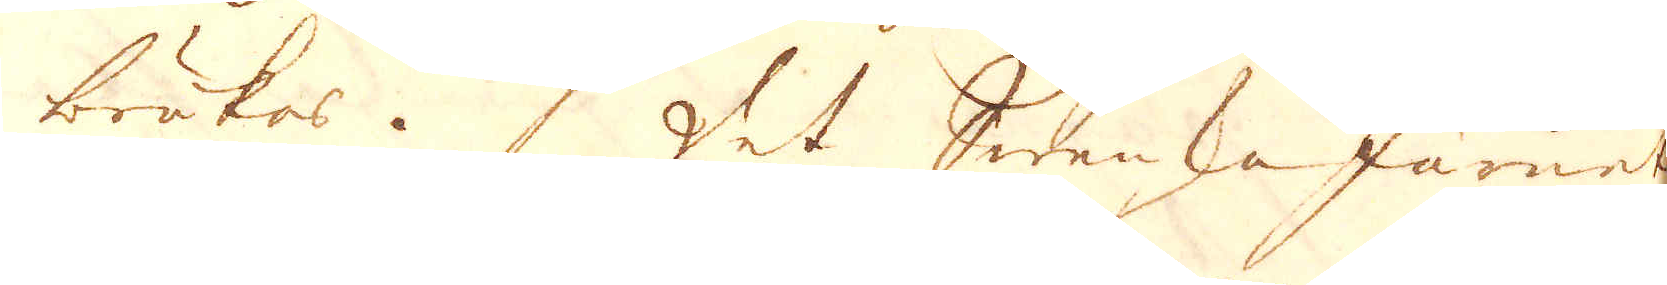brukas. Det Swenska Järnet
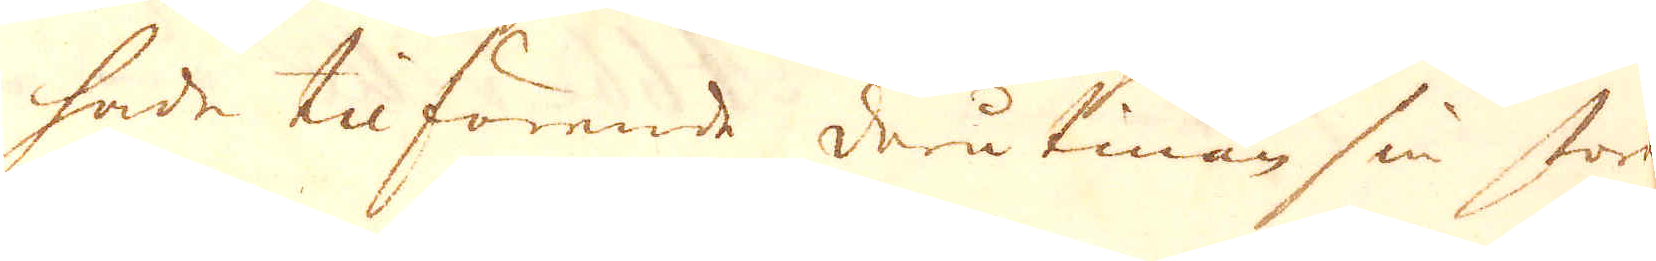hade tilförende derutinan sin stora
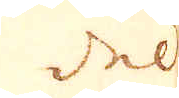del
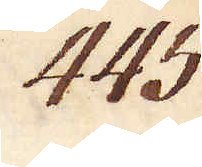445.
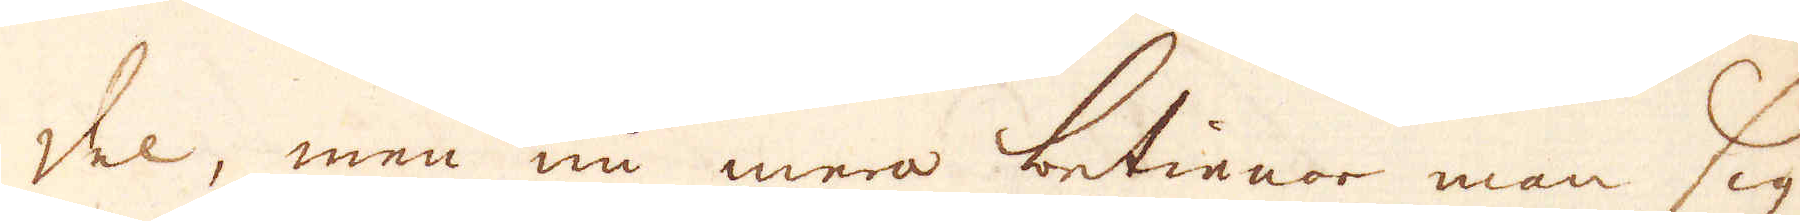del, men nu mera betienar man sig
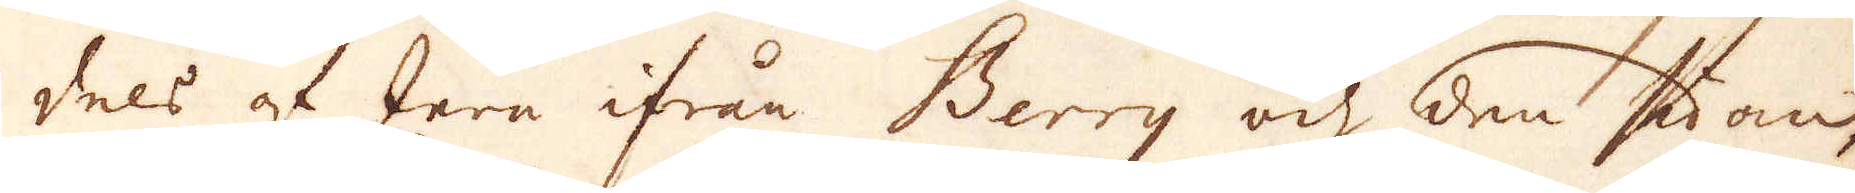dels af Jern ifrån Berry och den sidan,
